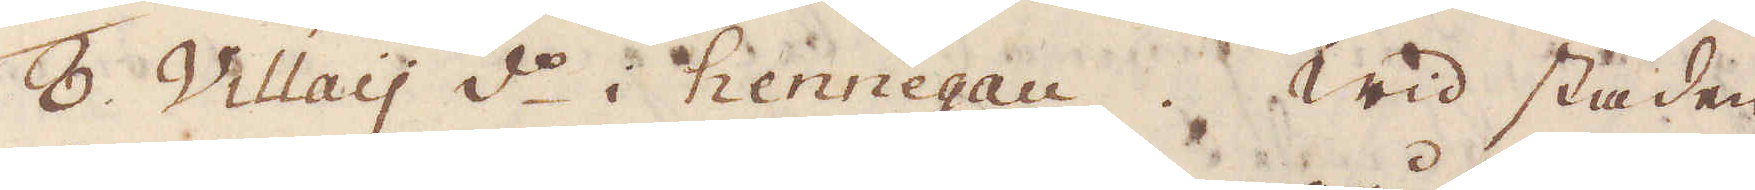8. Villay d:o i hennegau. Wid staden
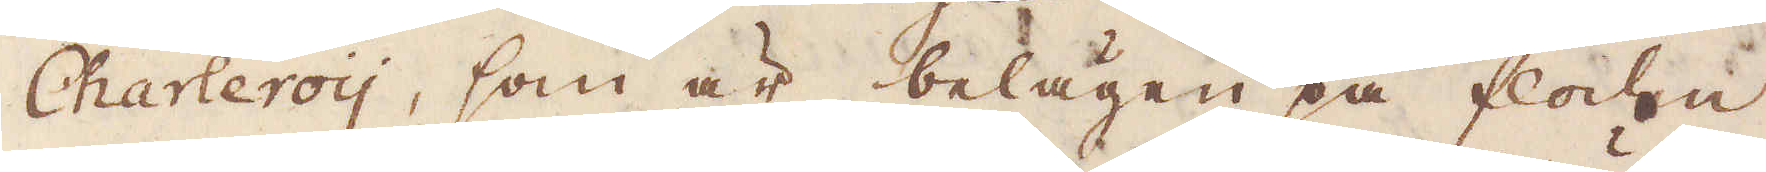Charleroy, som är belägen på floden
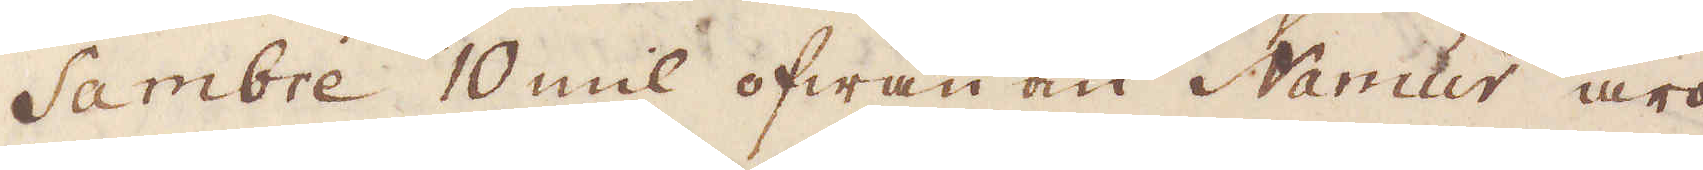Sambre 10 mil ofwan om Namur äro
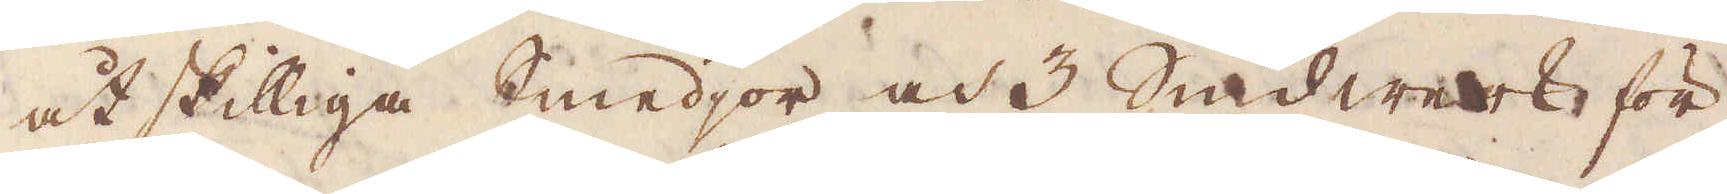åtskilliga Smedjor och 3 Smidwerk för
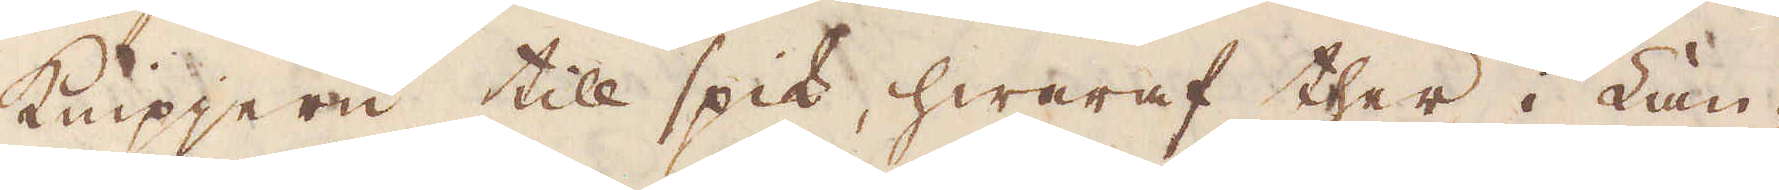knipjern till spik, hwaraf ther i Lan-
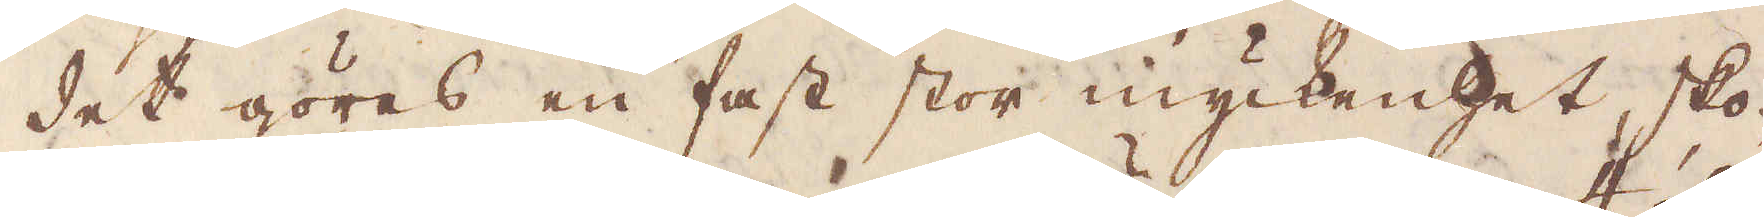det göras en fast stor myckenhet, sko-
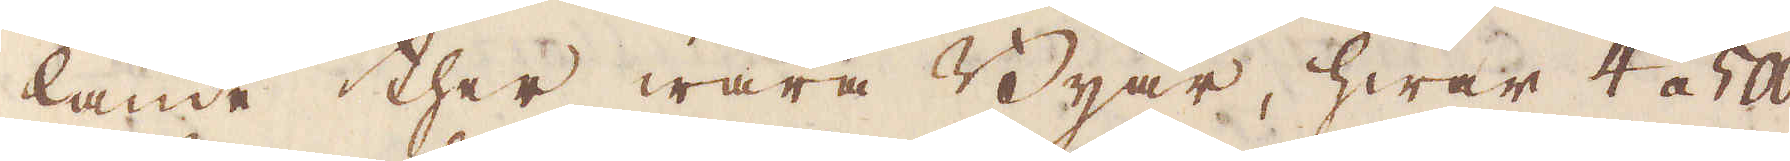lande ther wara Byär, hwar 4 á 500
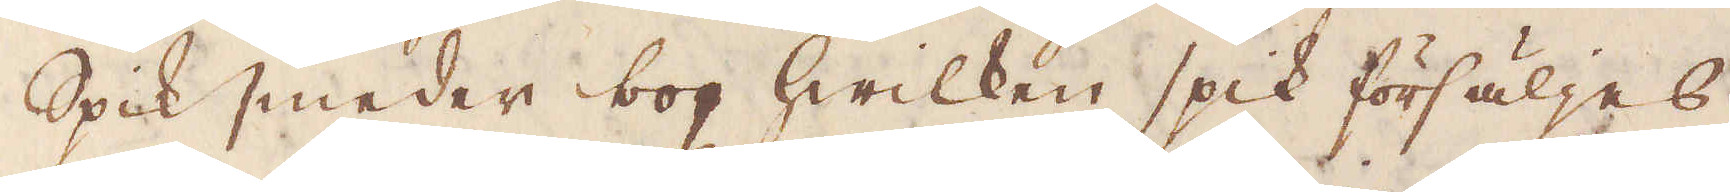Spiksmeder bor, hwilken spik försäljes
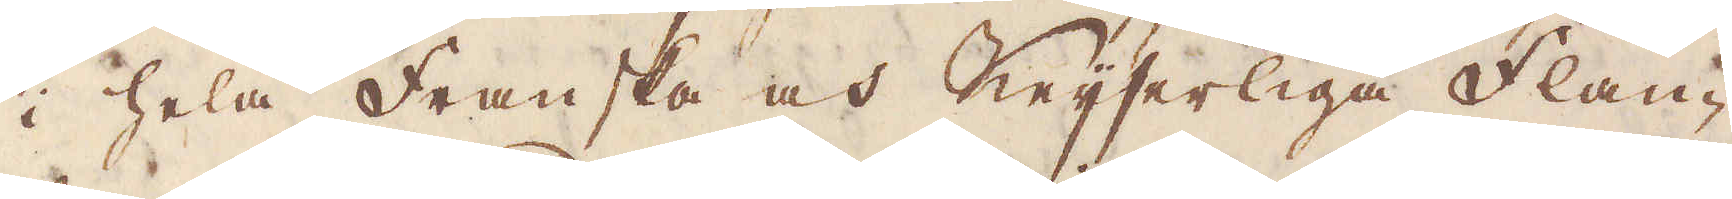i hela Franska och Keijserliga Flan-
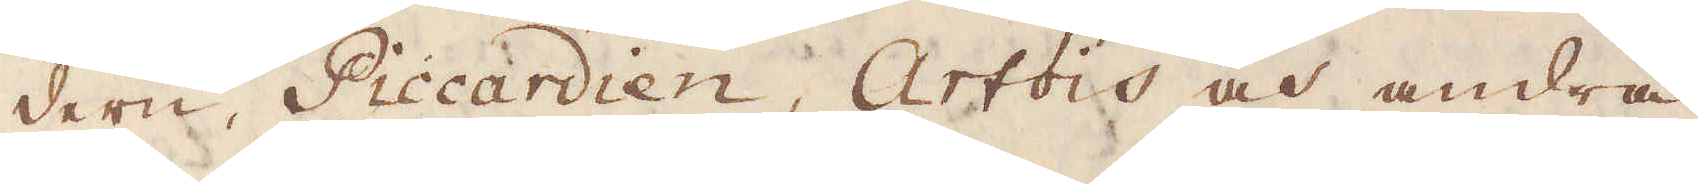dern, Piccardien, Artois och andra
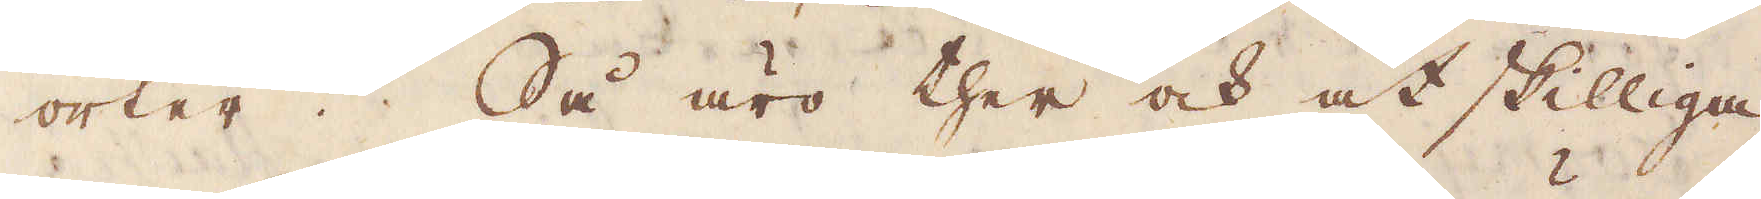orter. Så äro ther och åtskilliga
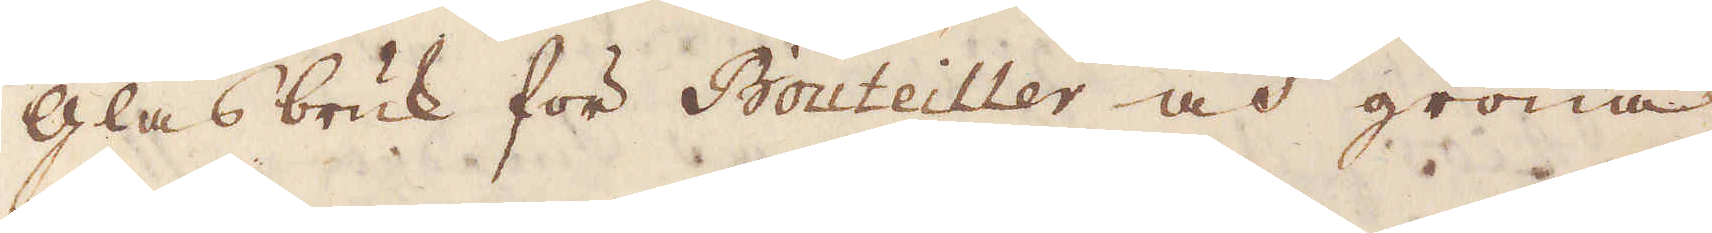glasbruk för Bouteiller och gröna
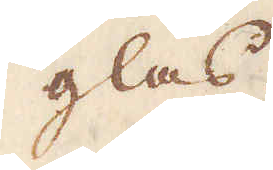glas.
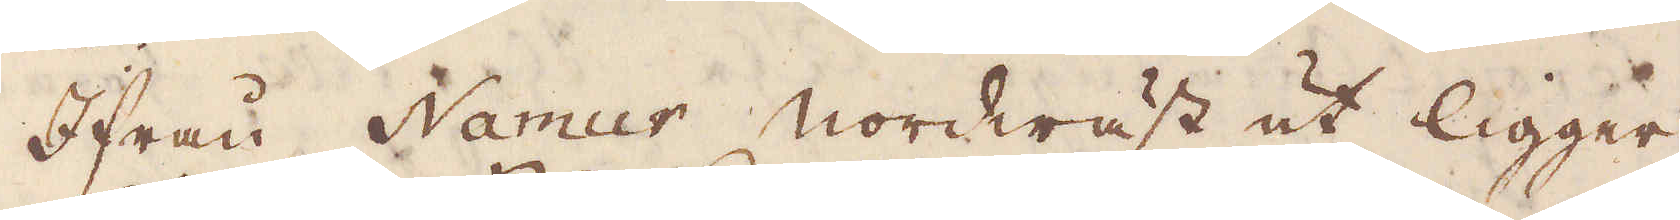Ifrån Namur Nordwäst åt ligger
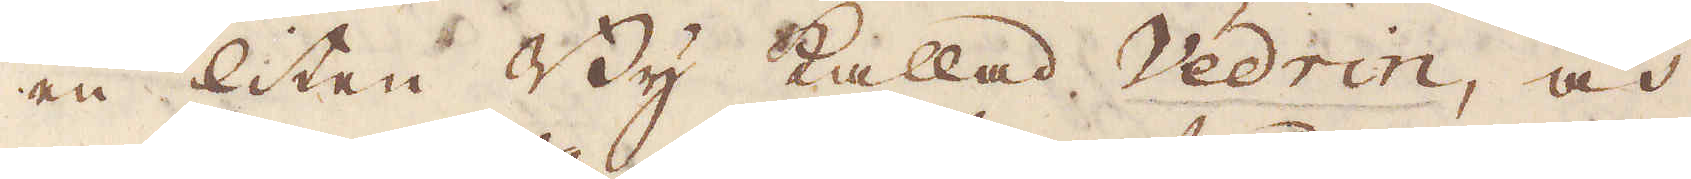en liten By kallad Vedrin, och
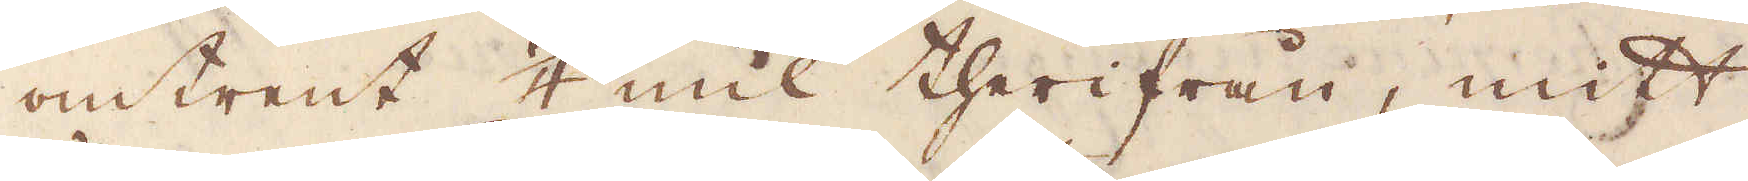omtrent 1/4 mil theirfrån, mitt
